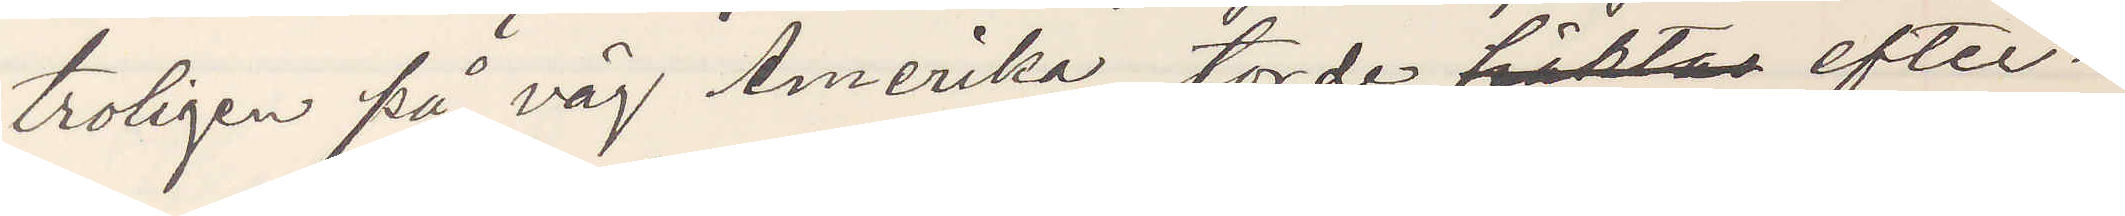troligen på väg Amerika torde häktas efter¬
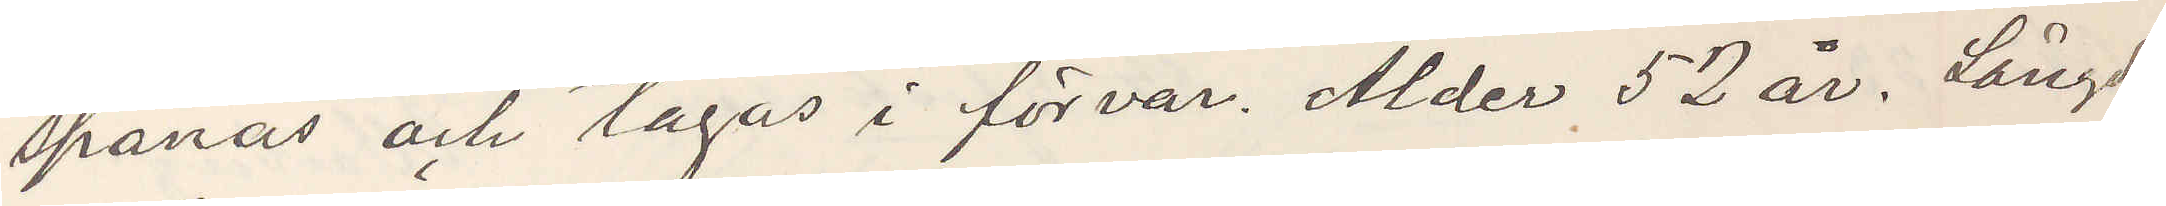spanas och tagas i förvar. Ålder 52 år. Längd
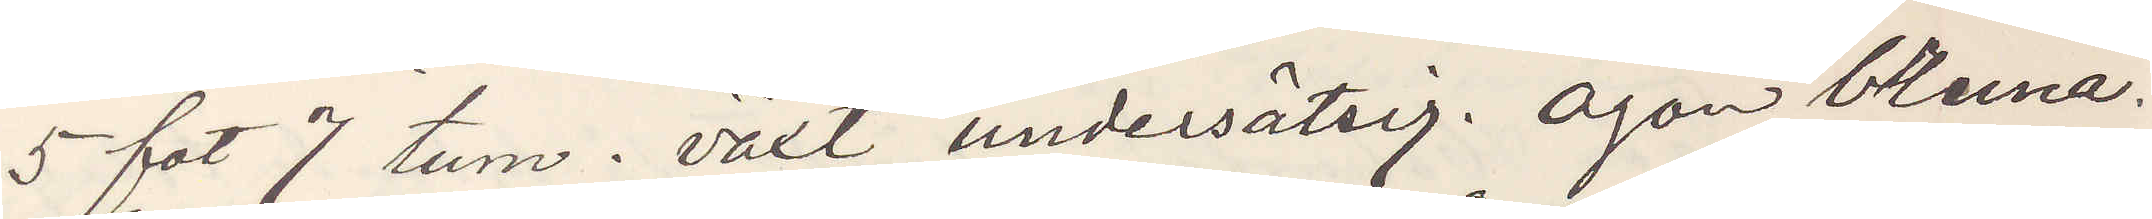5 fot 7 tum. växt undersätsig. ögon bruna.
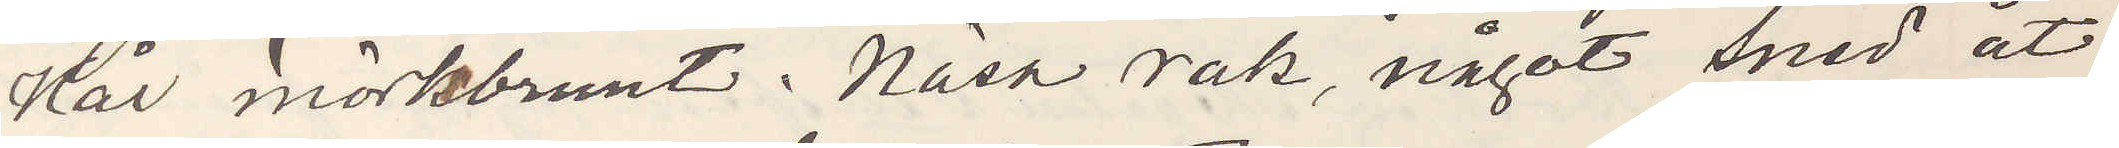Hår mörkbrunt. Näsa rak, något sned åt
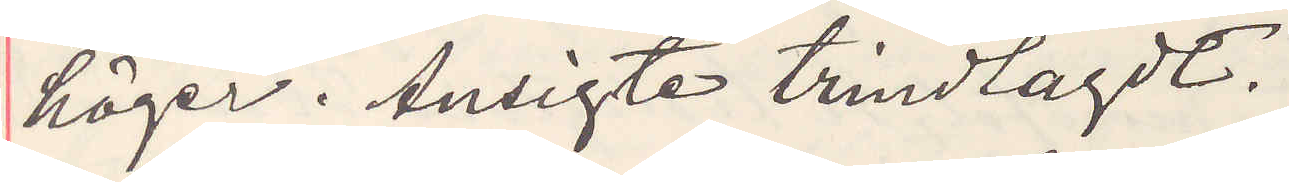höger. Ansigte trindlagdt.
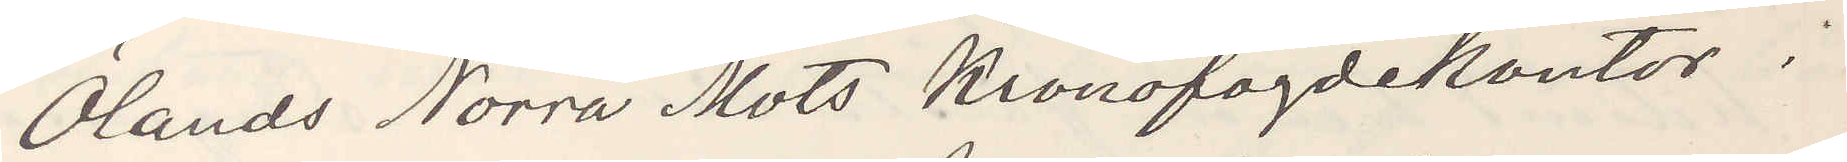Ölands Norra Mots Kronofogdekontor.
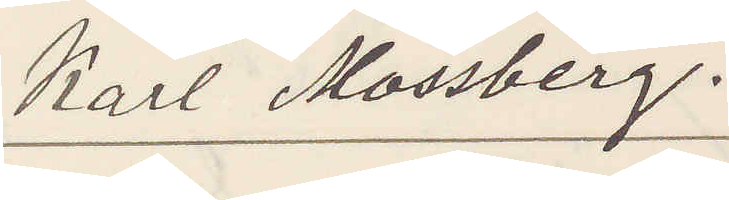Karl Mossberg.
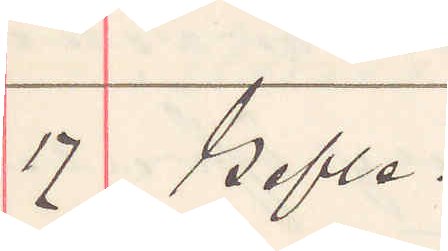17 Gefle.
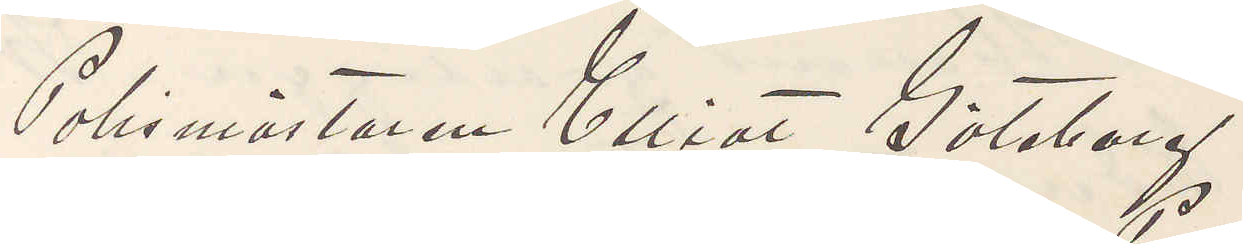Polismästaren Elliot Göteborg,
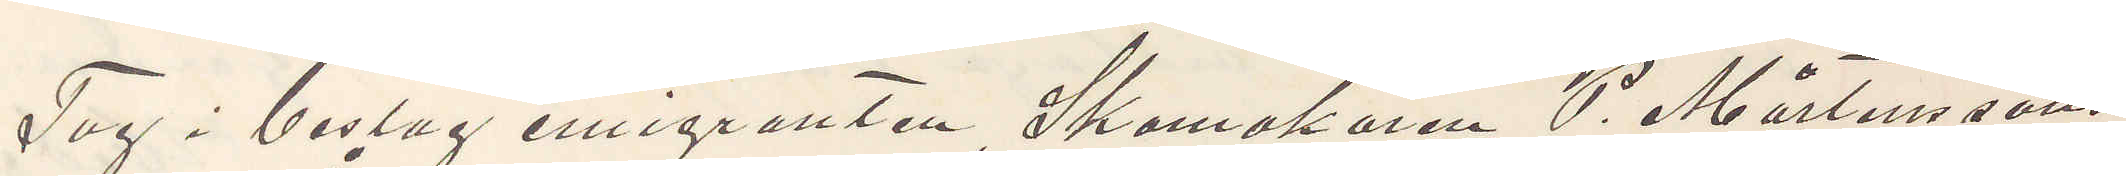Tag i beslag emigranten Skomakaren P. Mårtenssons
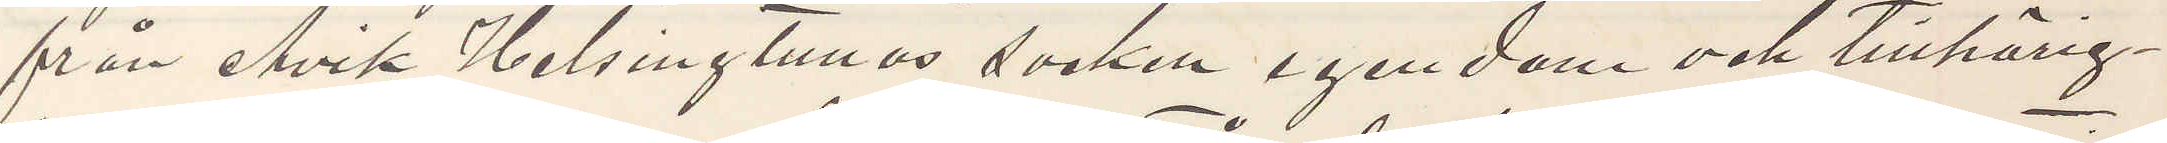från Åvik Helsingtunas socken egendom och tillhörig¬
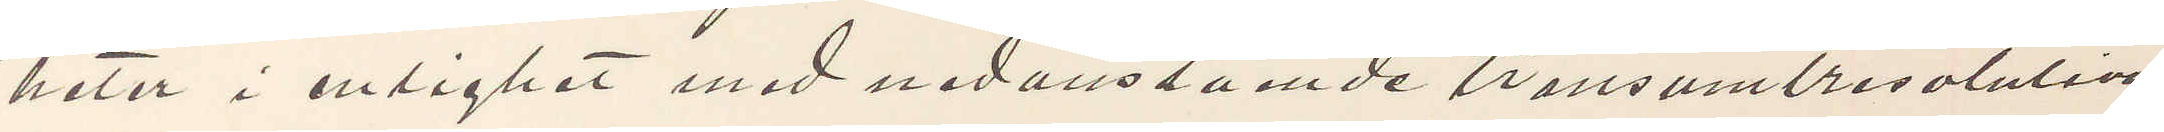heter i enlighet med nedanstående transmitresolution
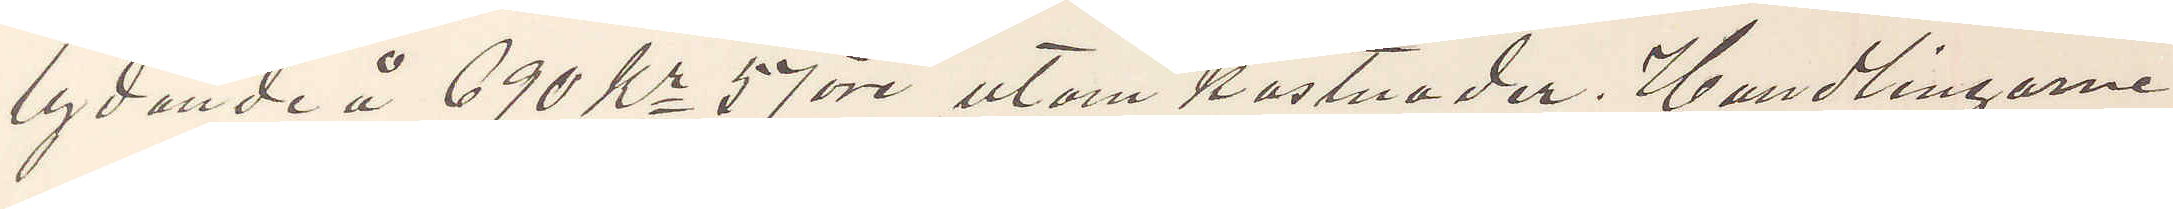lydande å 690 Kr 57 öre utom kostnader. Handlingarne
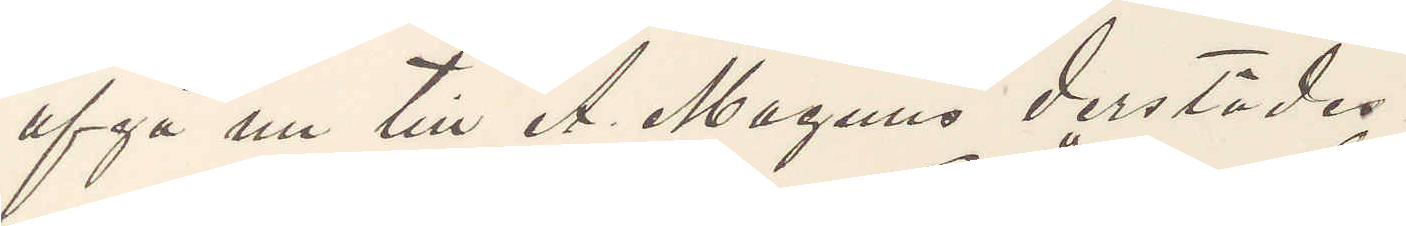afgå nu till A. Magnus derstädes.
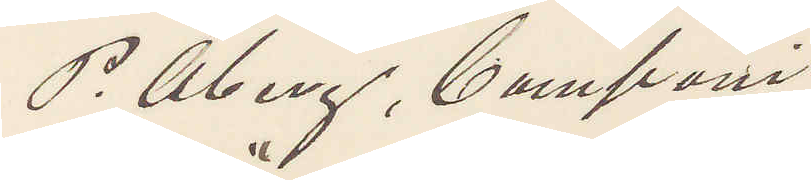P. Öberg, Compani
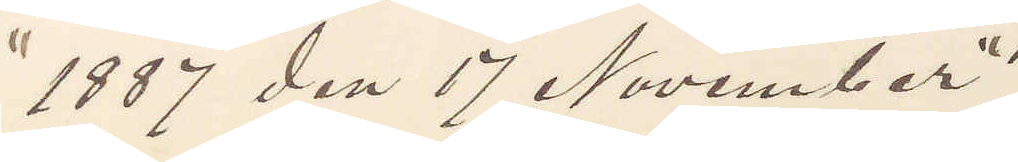"1887 den 17 November"
